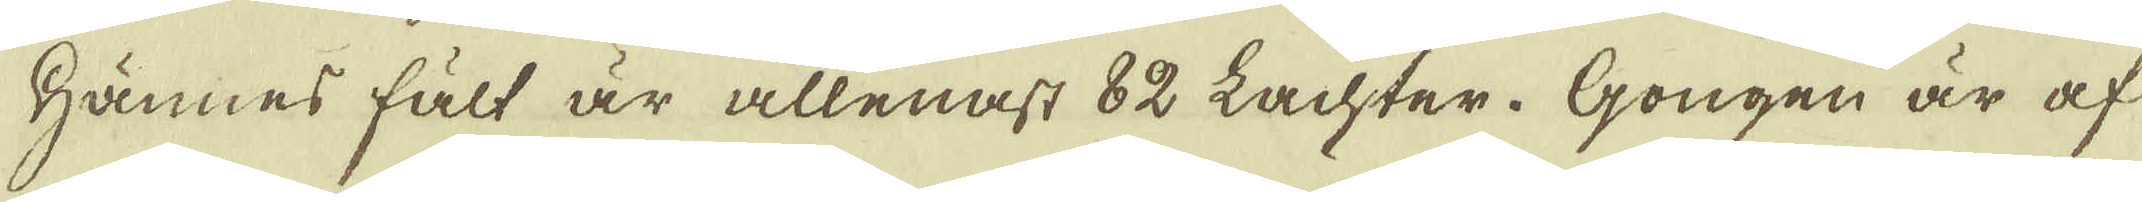Hännes fält är allenast 82 Lachter. Gongen är af
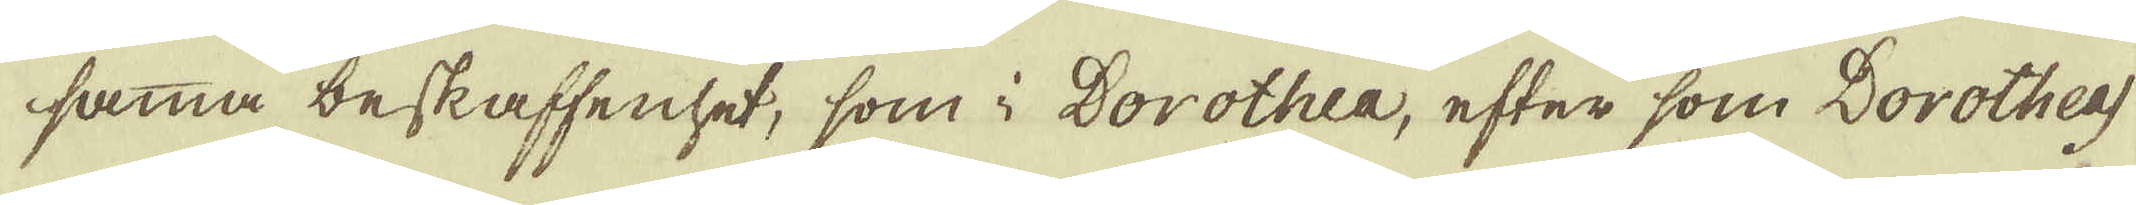samma beskaffenhet, som i Dorothea, efter som Dorotheas
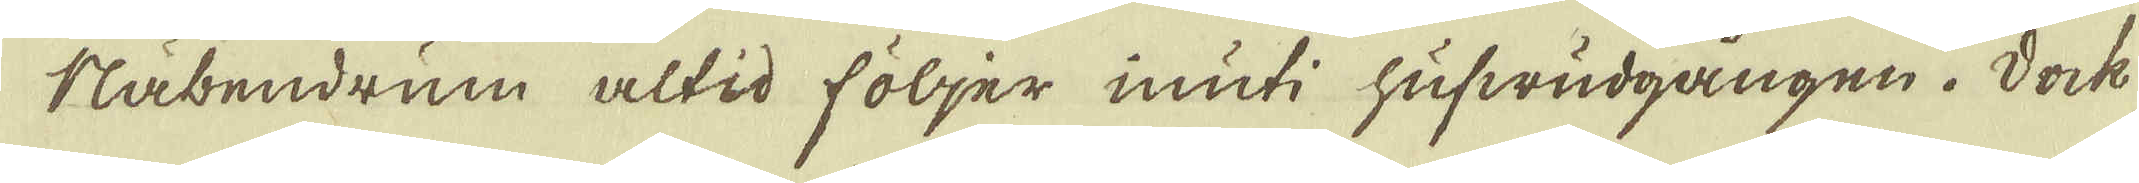Näbendrum altid följer inuti hufwudgången. Dock
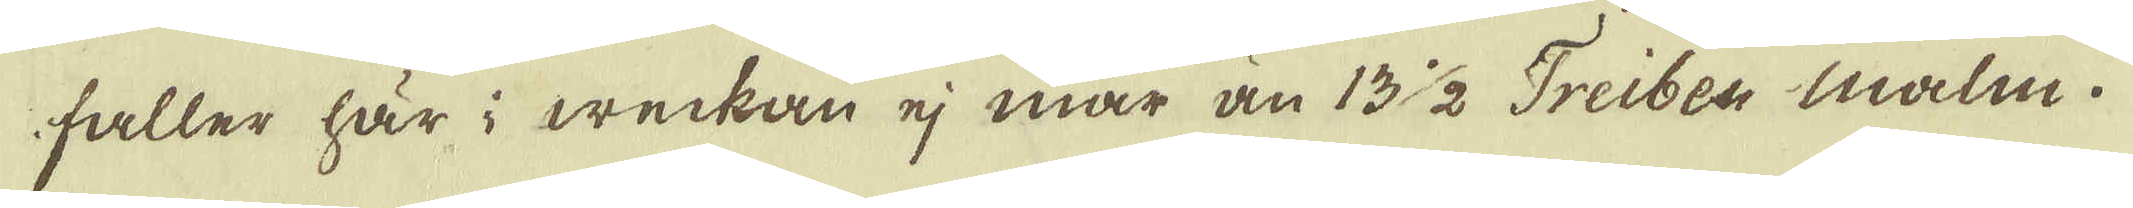faller här i weckan ej mär än 13 1/2 Treiben malm.
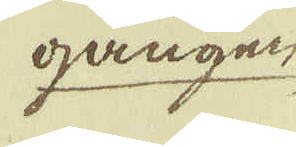gången
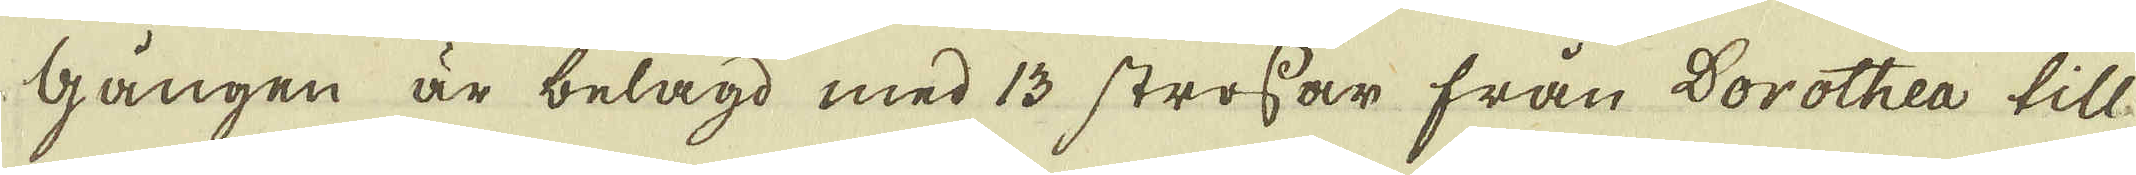gången är belagd med 13 strossar från Dorothea till-
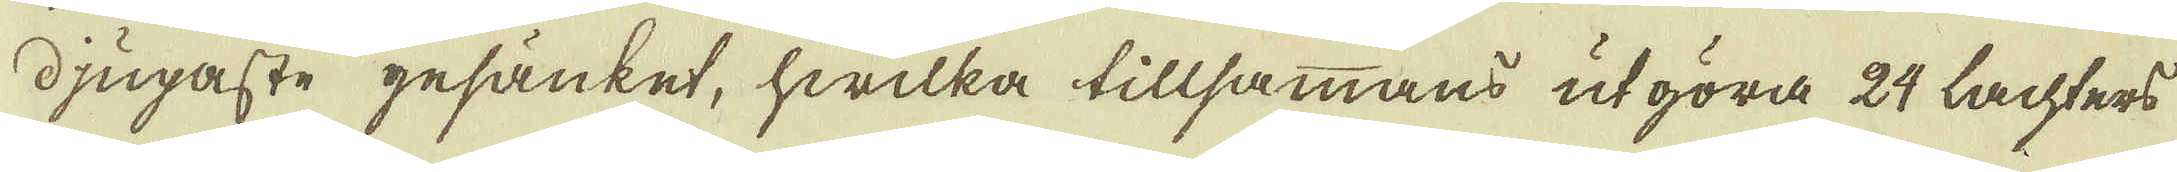djupaste gesänket, hwilka tillsammans utgöra 24 lachters
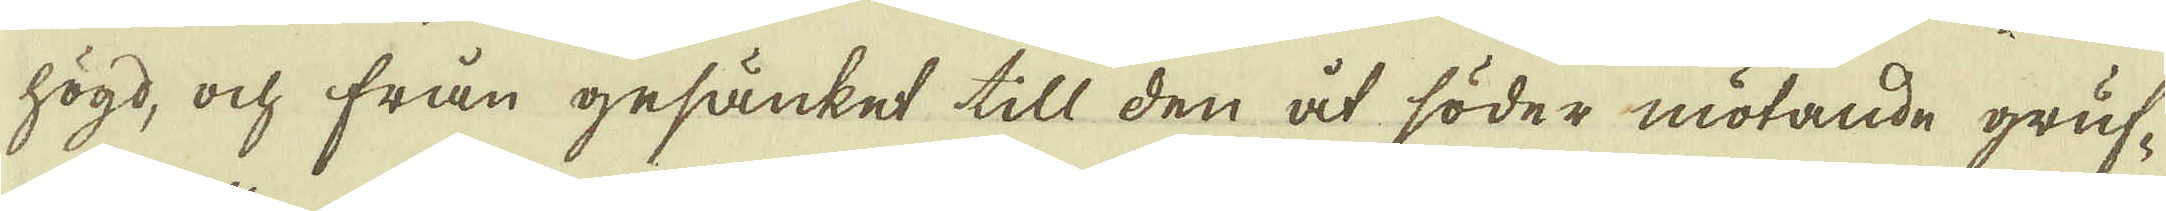högd, ock från gesänket till den åt söder mötande gruf-
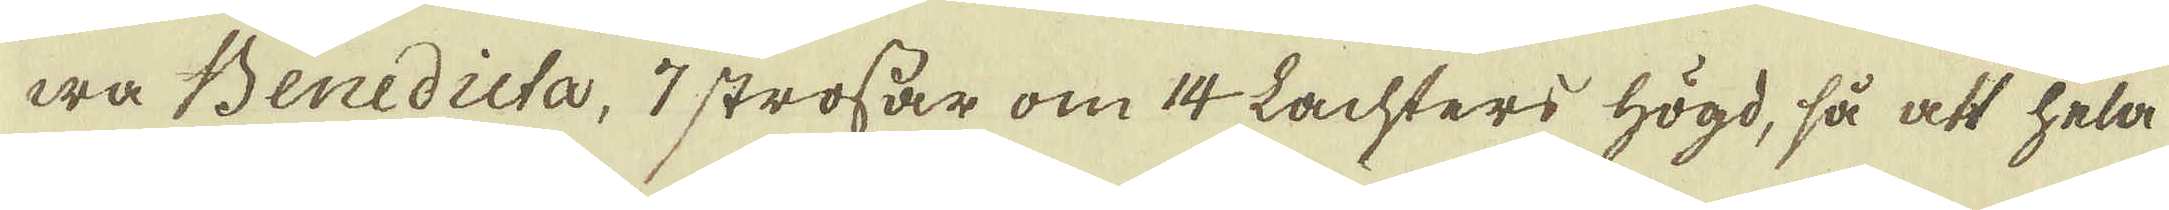wa Benedicta, 7 strossar om 14 Lachters högd, så att hela
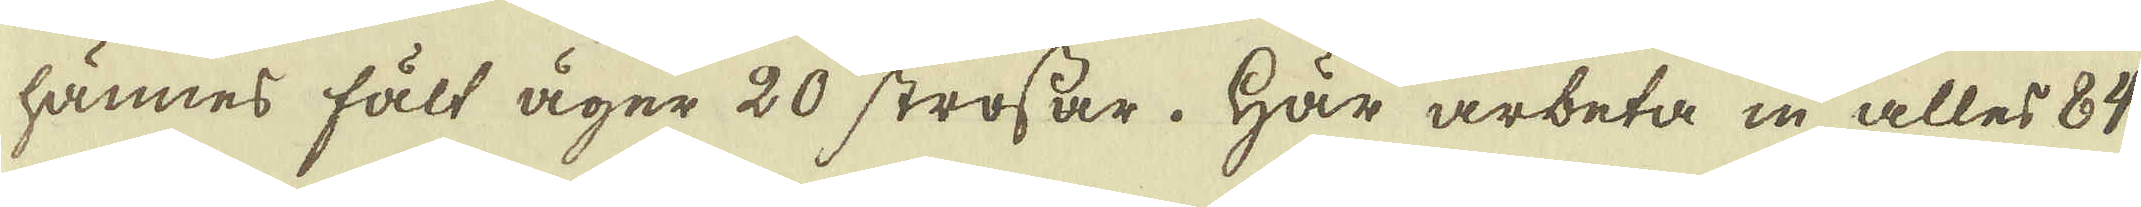hännes fält äger 20 strossar. Här arbeta in alles 84
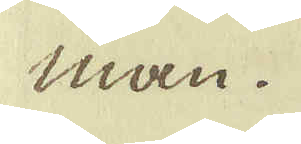man.
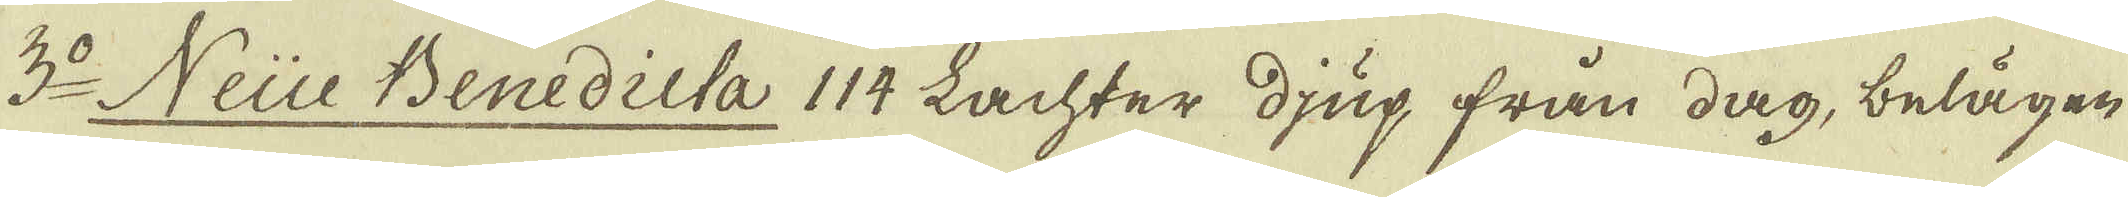3:o Neue Benedicta 114 Lachter djup från dag, belägen
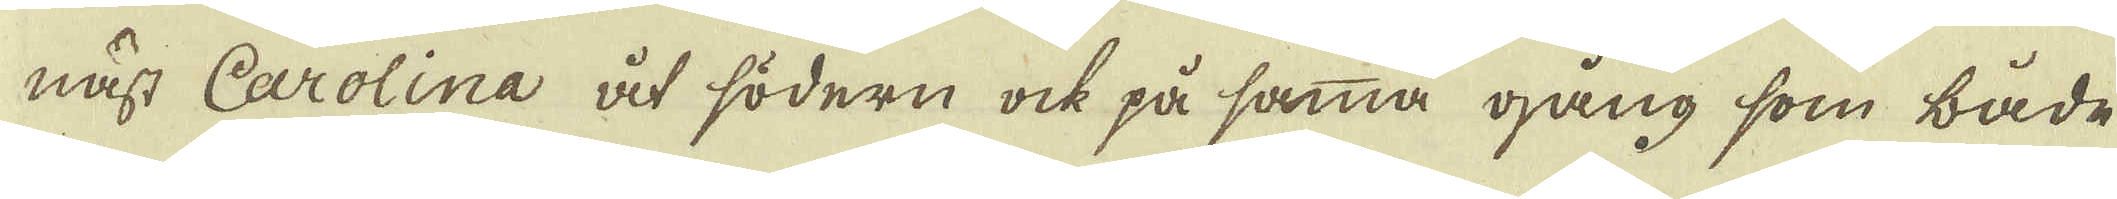näst Carolina åt södern ock på samma gång som både
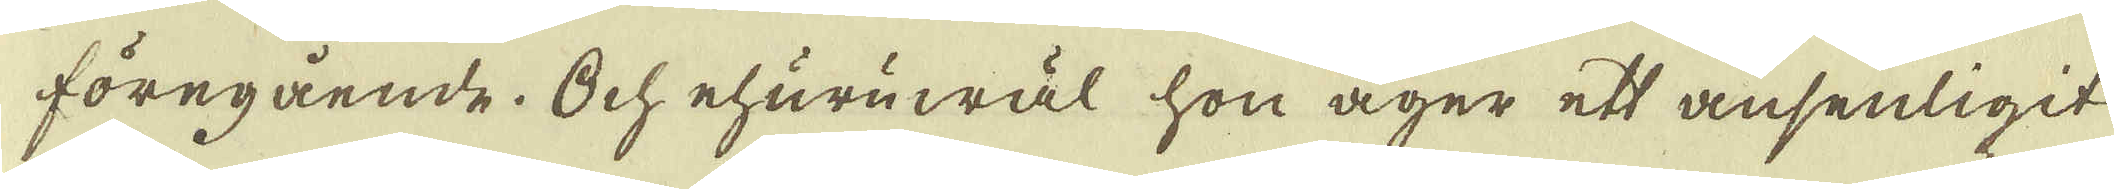föregående. Och ehuruwäl hon äger ett ansenligit
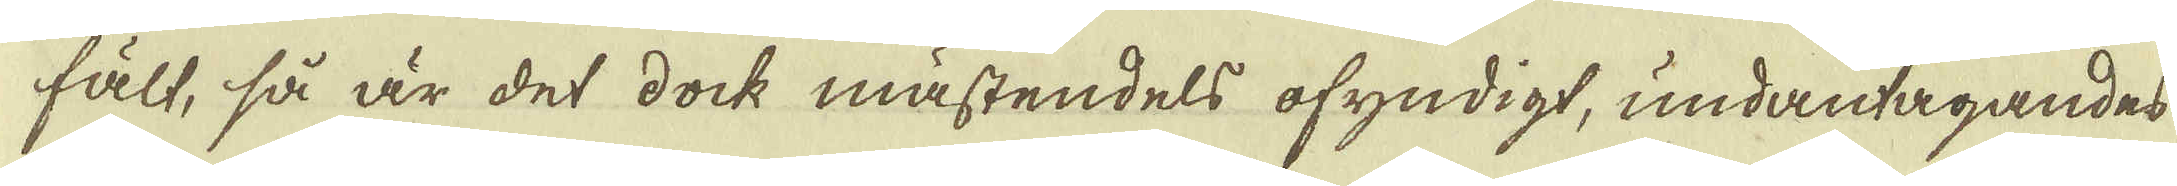fält, så är det dock mästendels ofyndigt, undantagandes
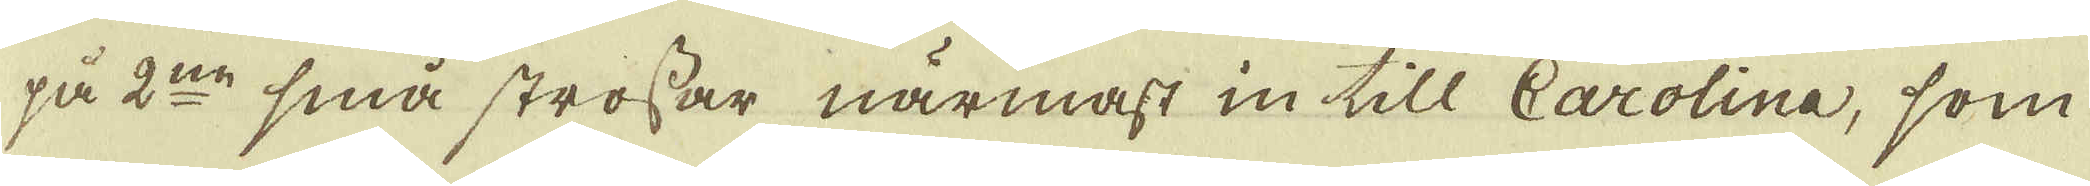på 2:ne små strossar närmast in till Carolina, som
